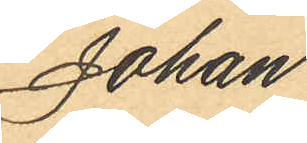Johan
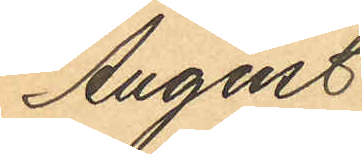August
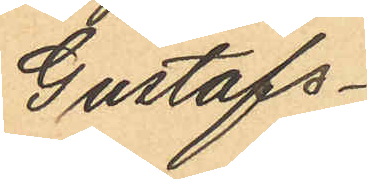Gustafs¬
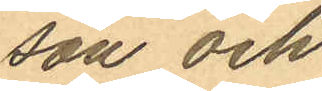son och
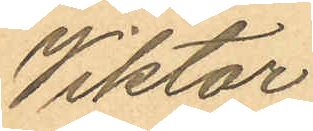Viktor
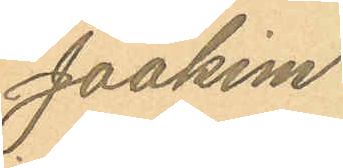Joakim
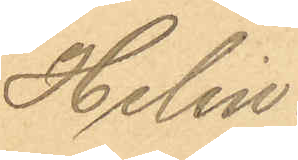Helin.
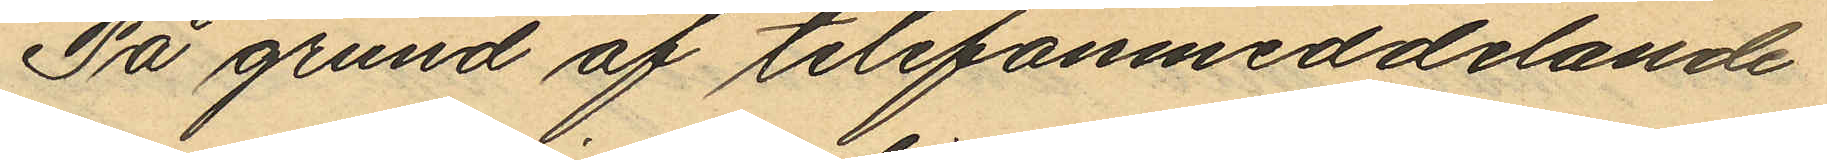På grund af telsfonmeddelande
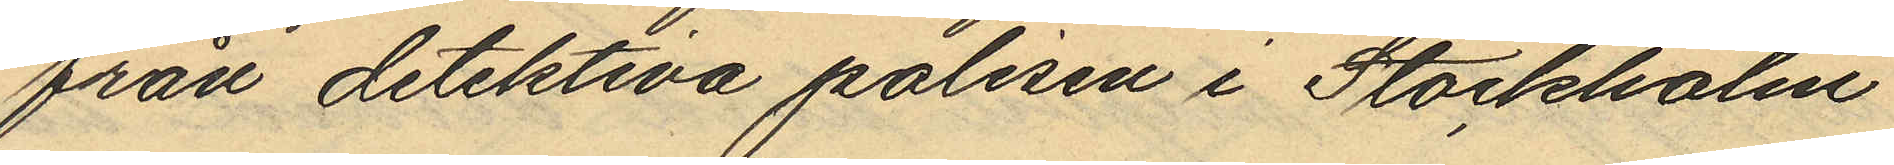från detektiva polisen i Stockholm
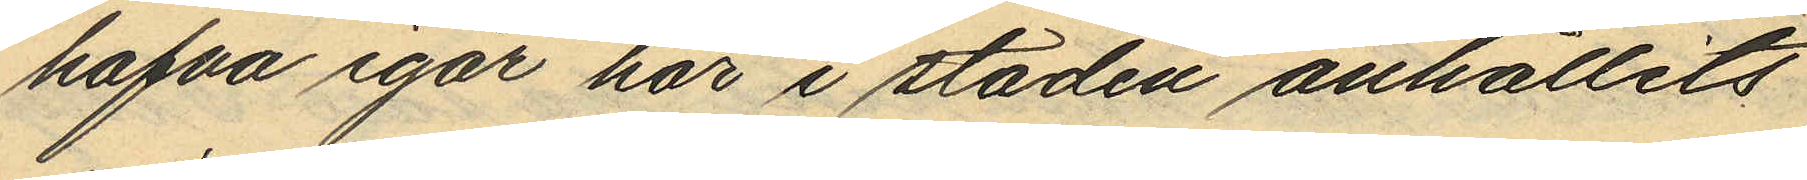hafva igår här i staden anhållits
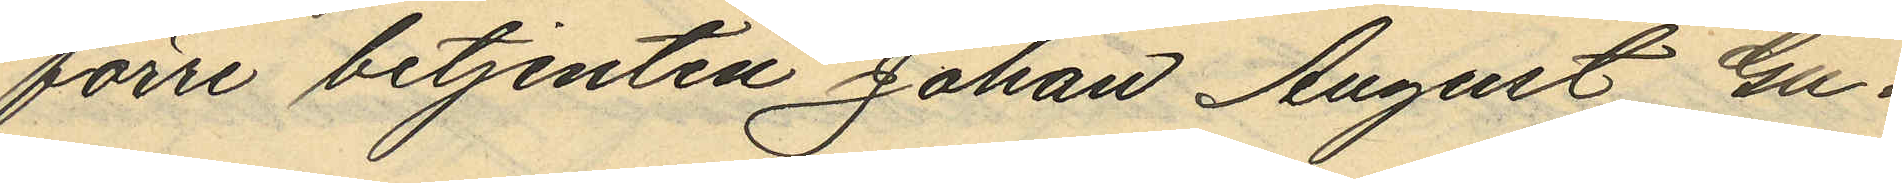förre betjenten Johan August Gu¬
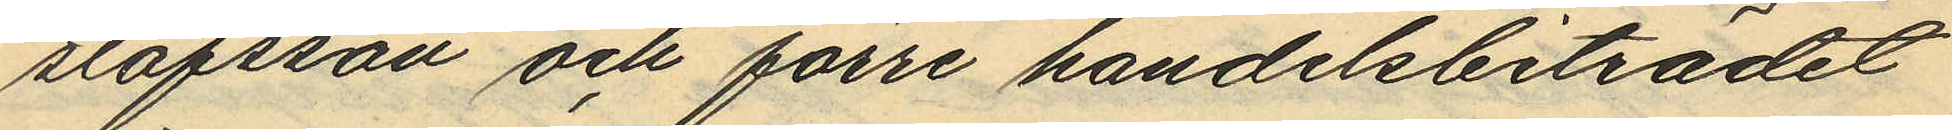stafsson och förre handelsbiträdet
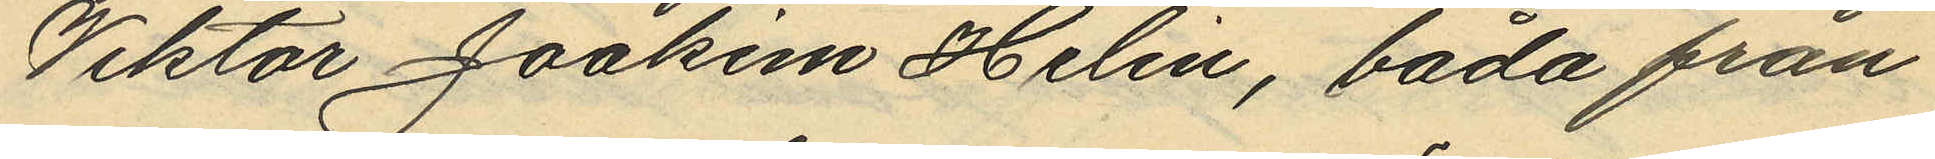Viktor Joakim Helin, båda från
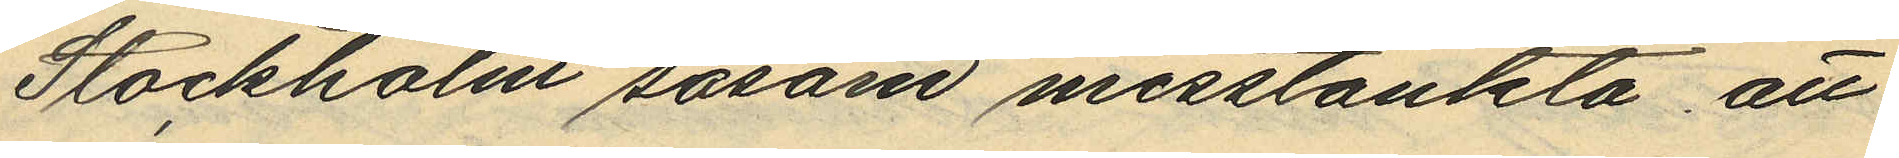Stockholm såsom misstänkta att
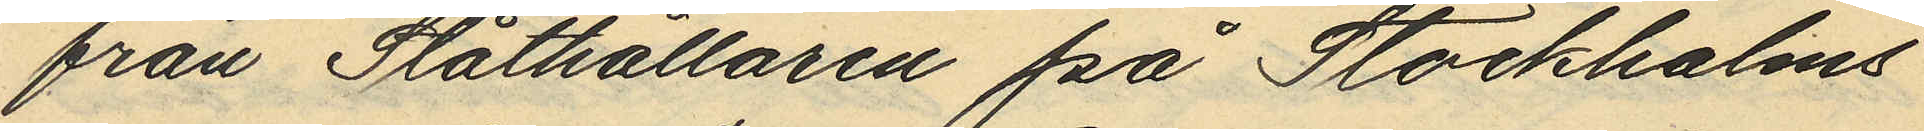från Stathållaren på Stockholms
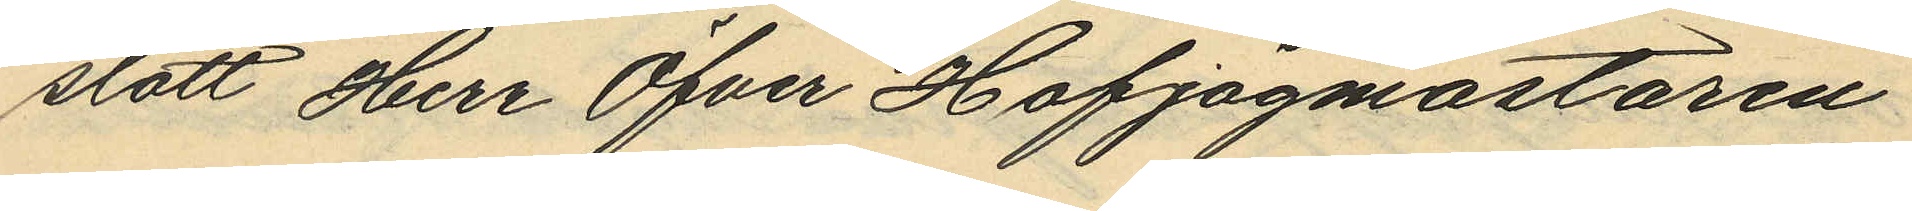slott Herr Öfver Hofjägmästaren
